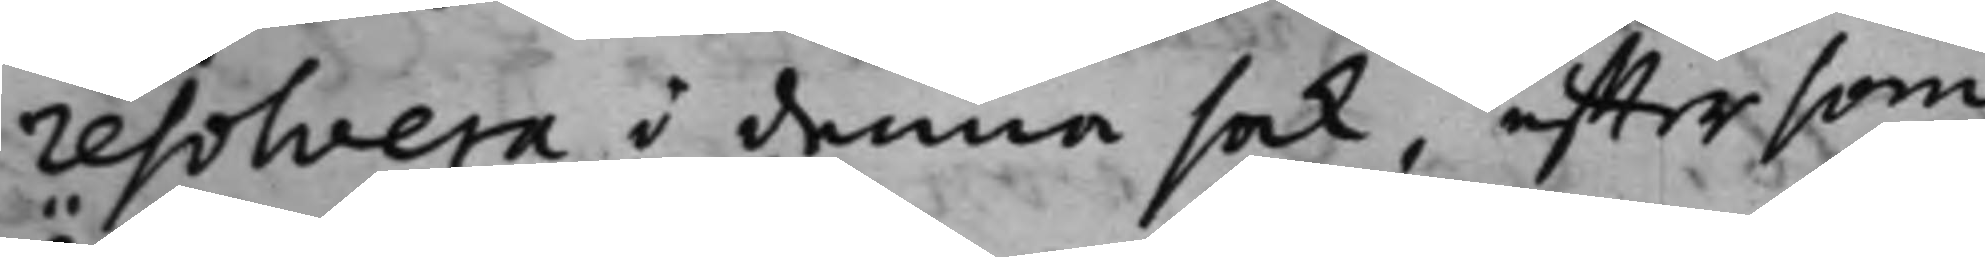resolvera i denna sak, efftersom
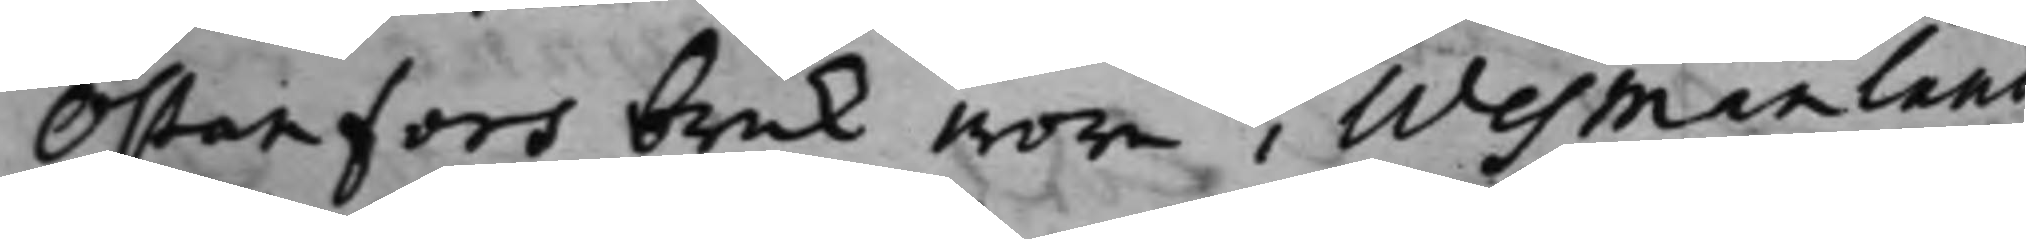Östanfors bruk wore i Wesmanland
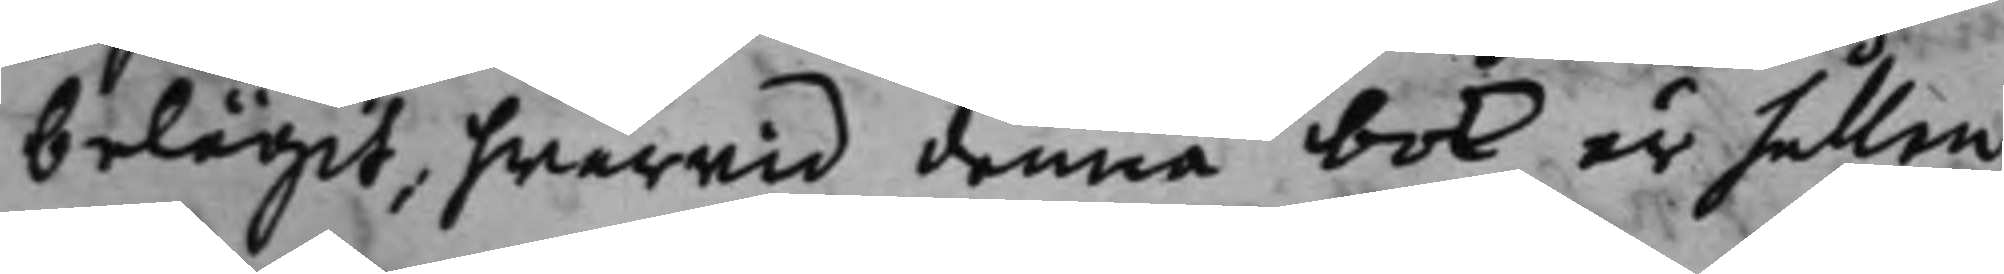belägit, hwarwid denna bok är hållen
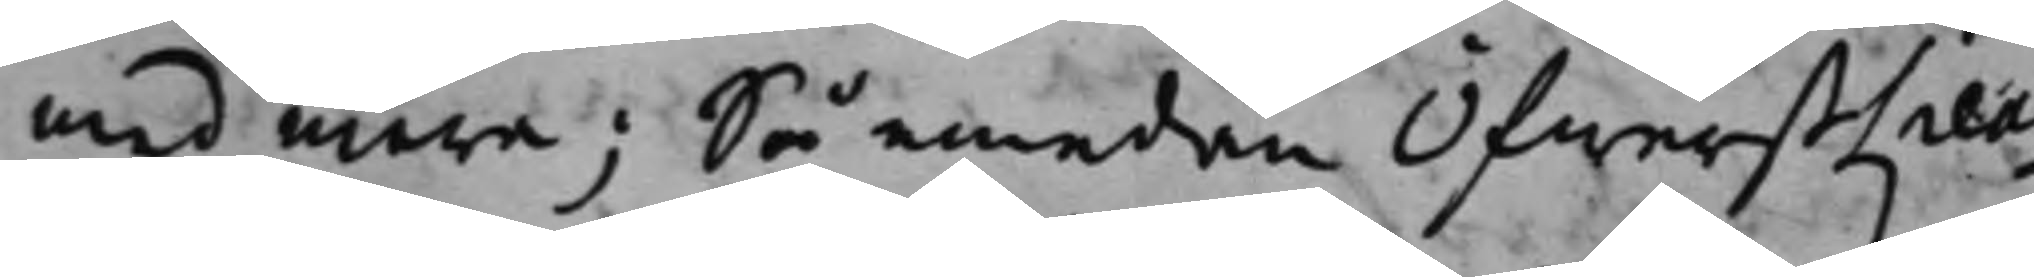med mera; Så emedan ÖfwerstLieu¬
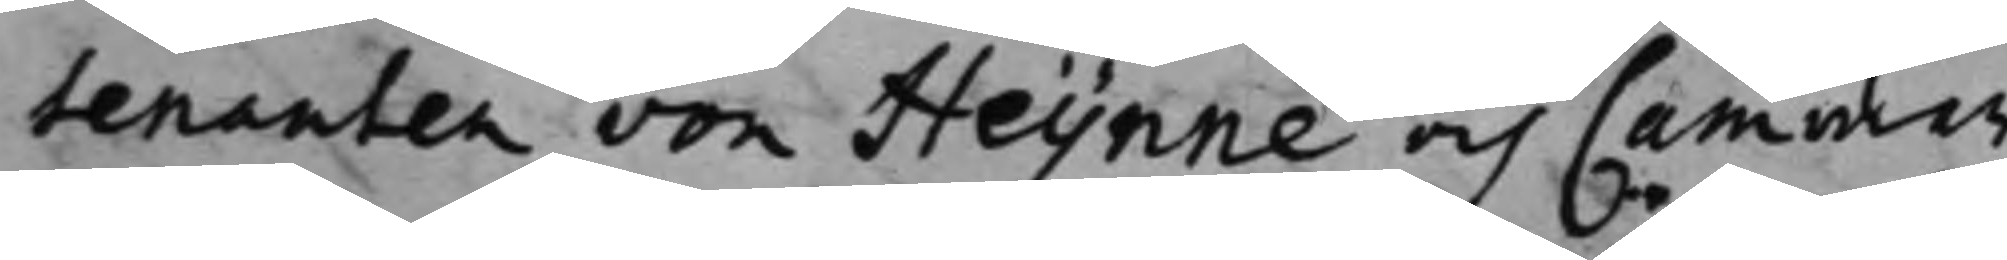tenanten von Heijnne och Cammar¬
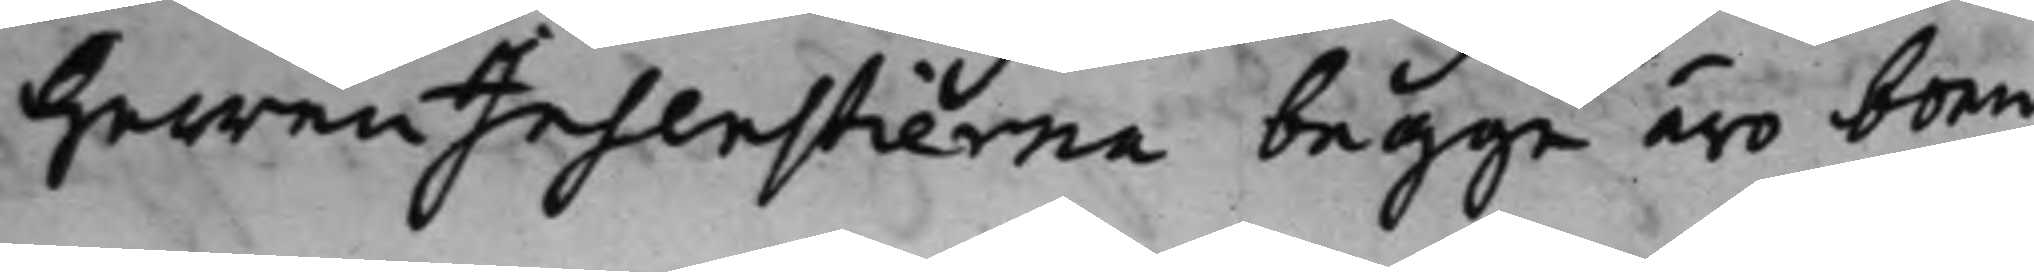Herren Insenstierna begge äro boen¬
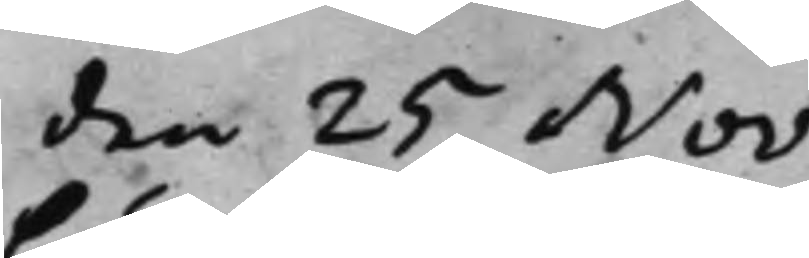den 25 Nov.
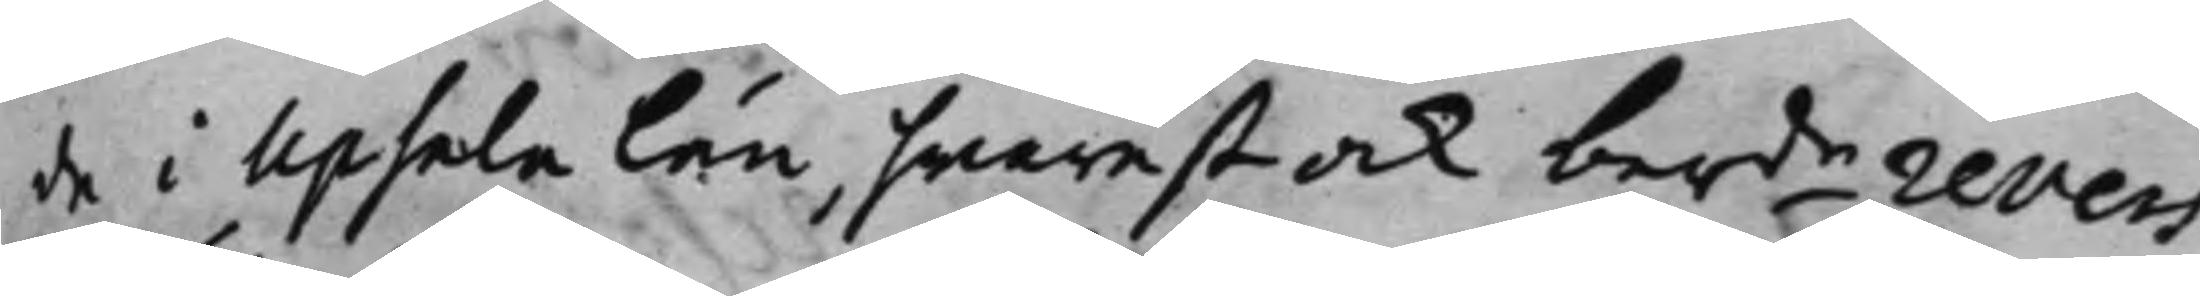de i Upsala Län, hwarest ock berde revers
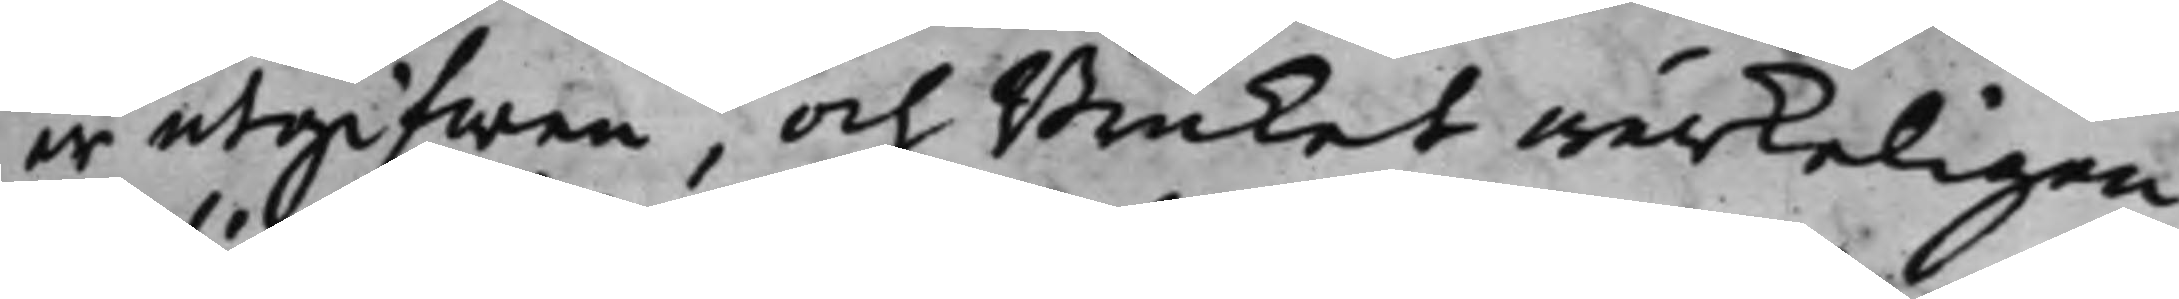är utgifwen, och Bruket wärkeligen
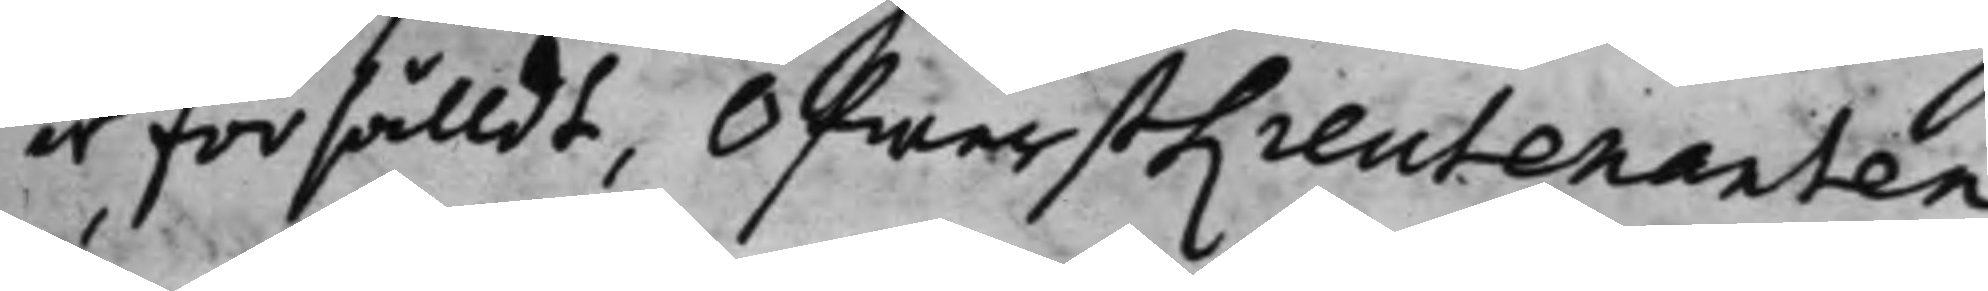är försålldt, ÖfwerstLieutenanten
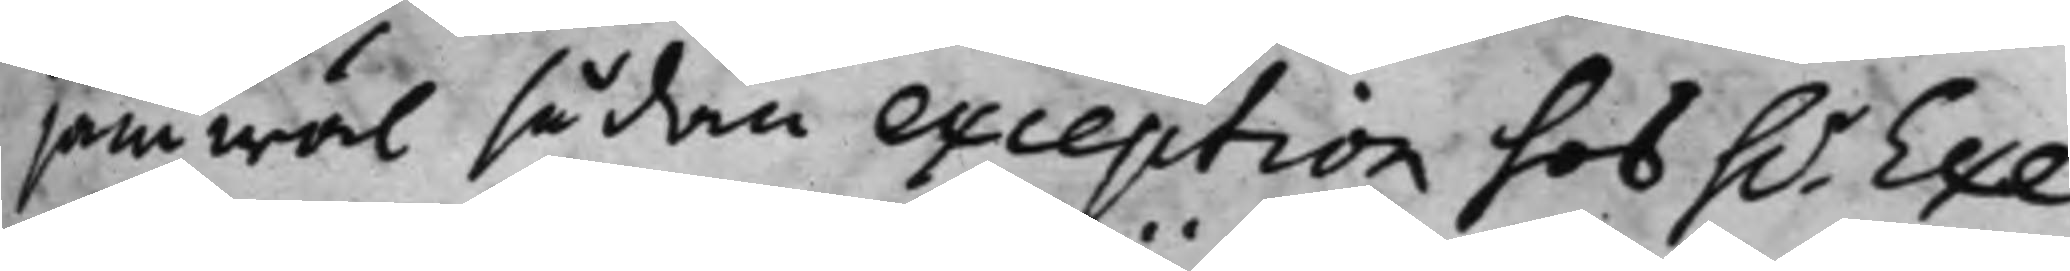jämwäl sådan exception hos h.r Exe¬
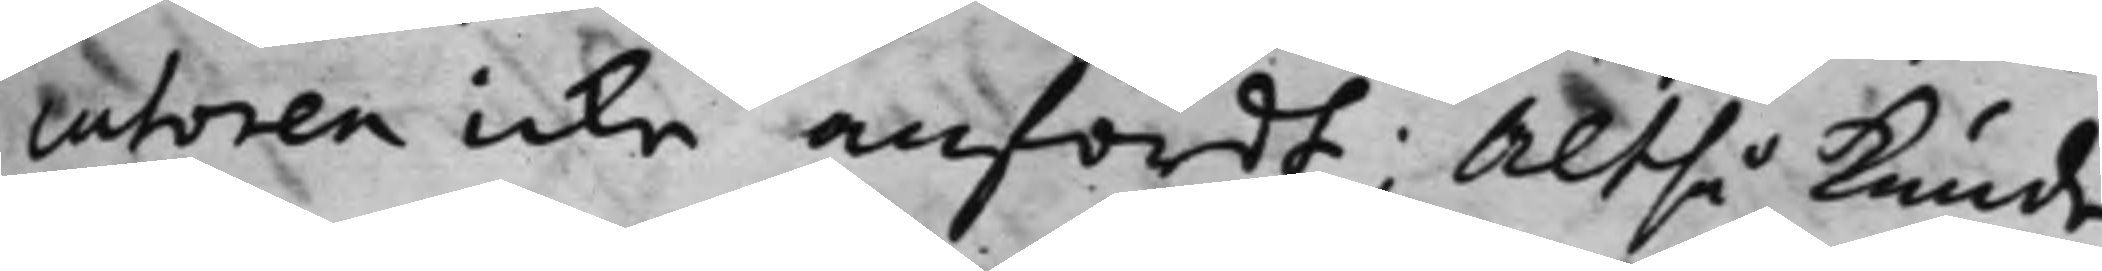cutoren icke anfördt; Altså kunde
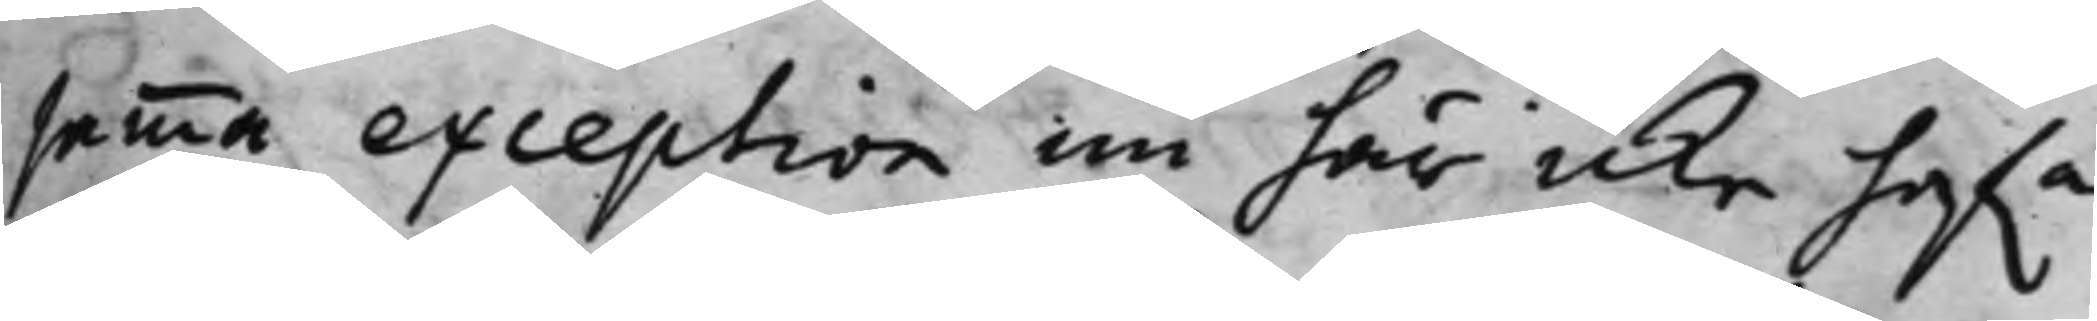samma exception nu här icke hafwa
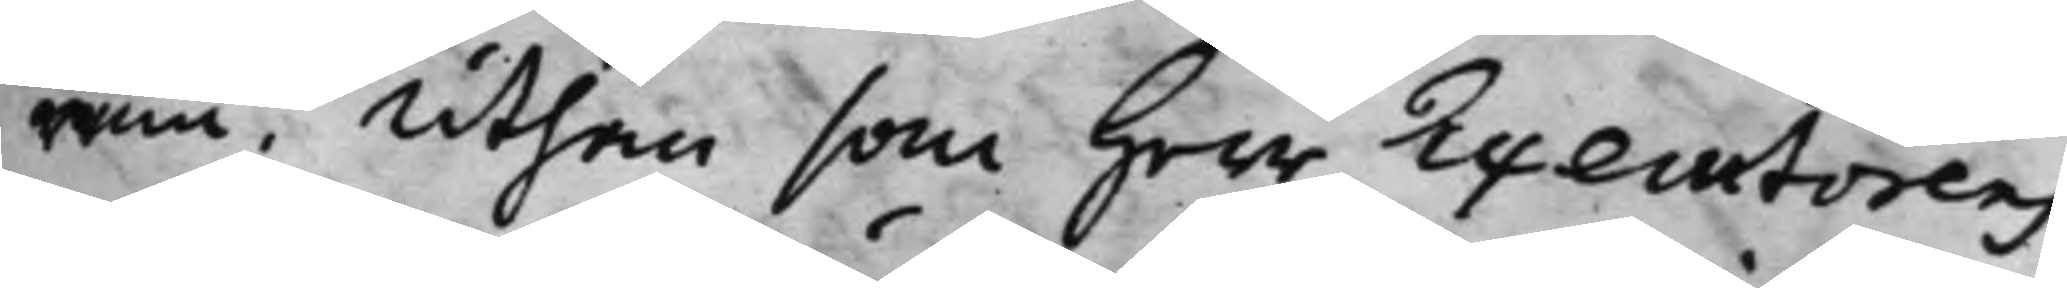rum, Uthan som Herr Executorens
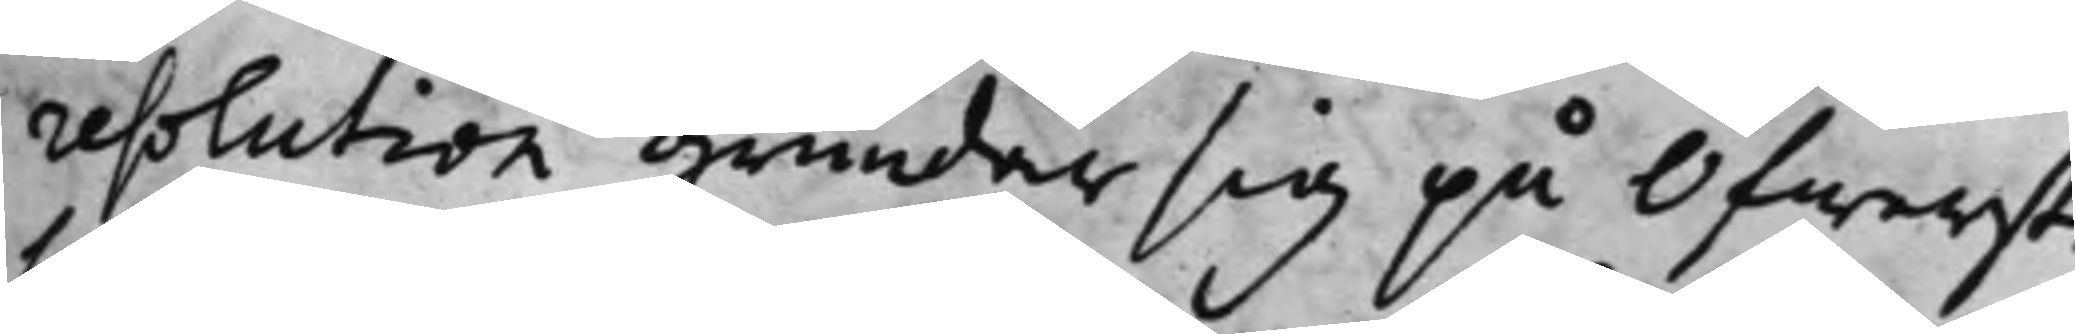resolution grundar sig på Öfwerst¬
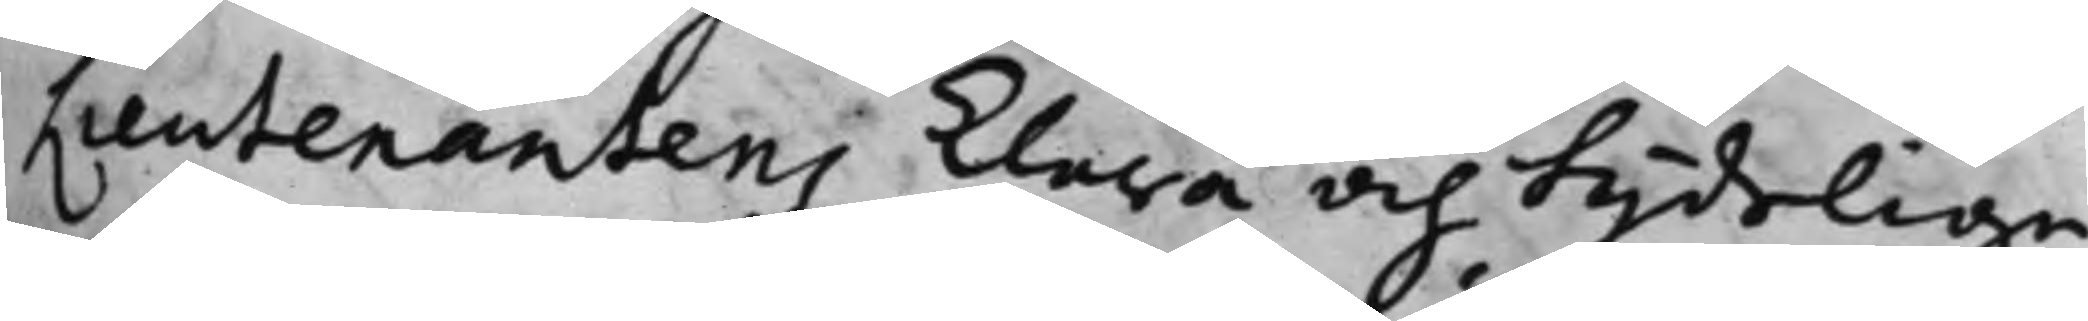Lieutenantens klara och tydelige
